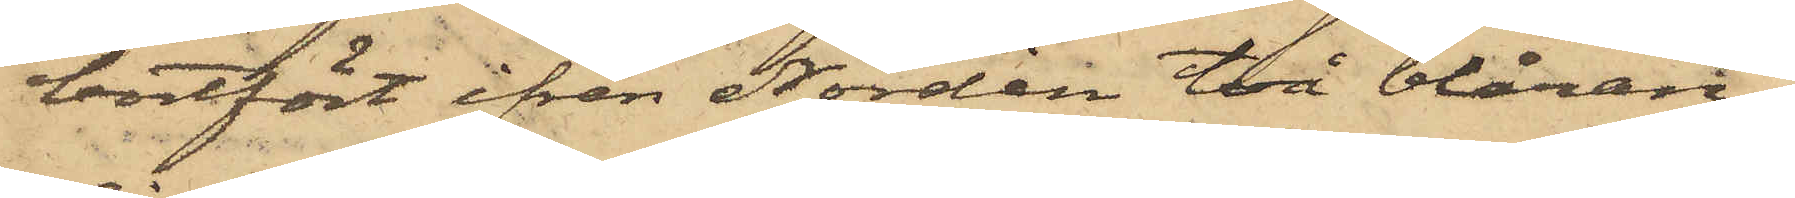bortfört ifrån Nordin två blåran¬
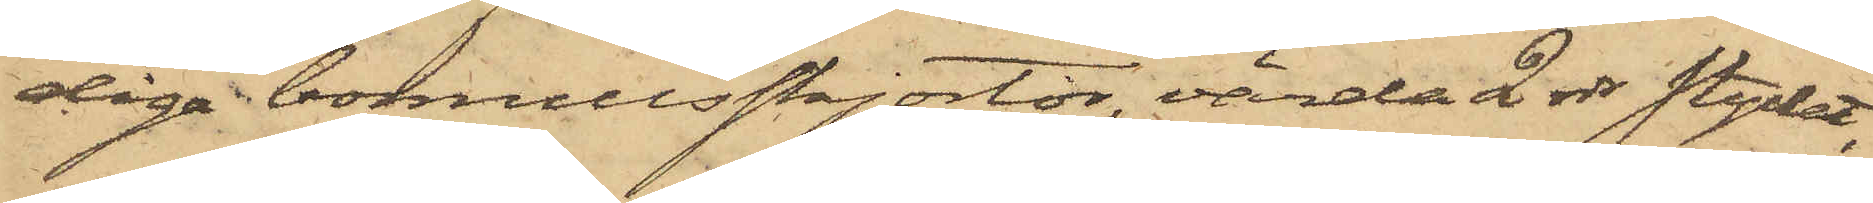diga bomullsskjortor, värda 2 rdr stycket,
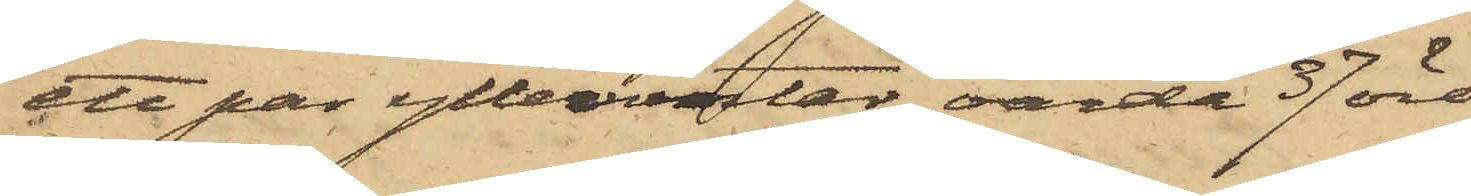ett par yllevantar, värda 37 öre,
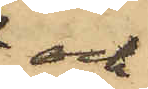och
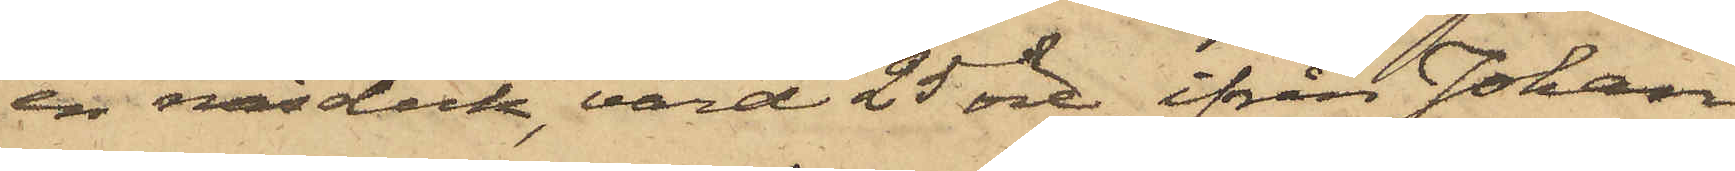en näsduk, värd 25 öre, ifrån Johan
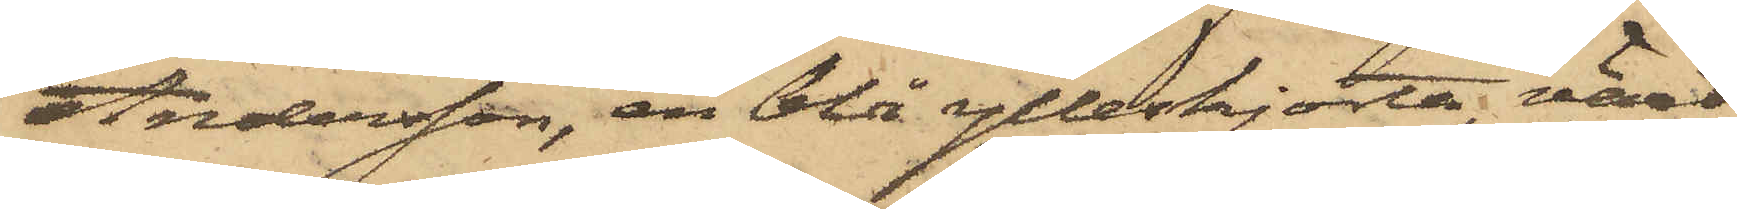Andersson, en blå ylleskjorta, värd
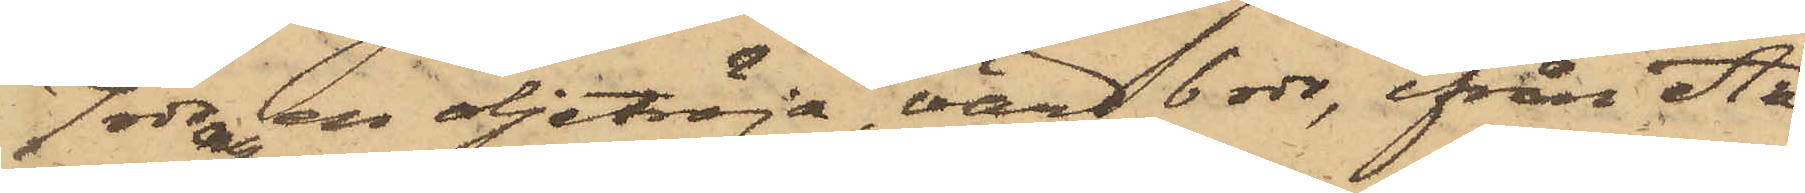7 rdr och en oljetröja, värd 6 rdr, ifrån An¬
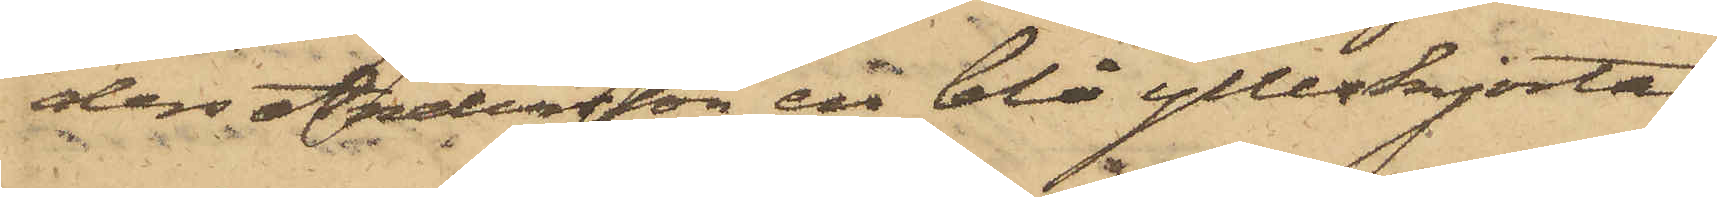ders Andersson en blå ylleskjorta,
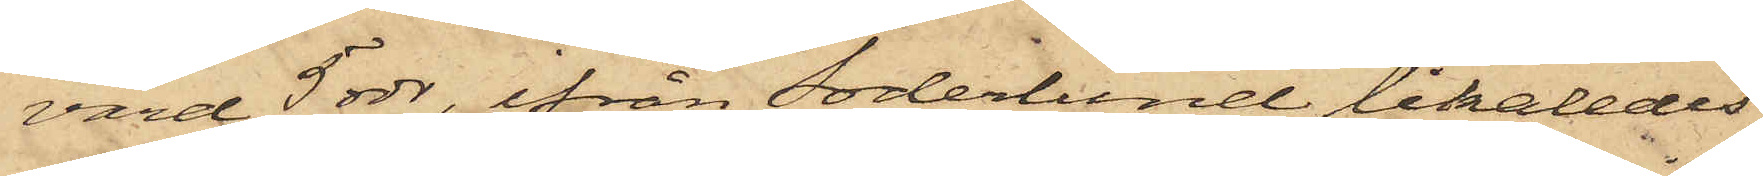värd 5 rdr, ifrån Söderlund likaledes
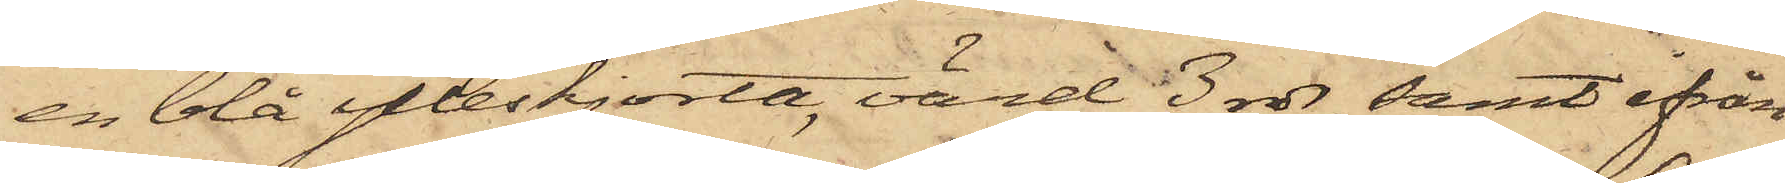en blå ylleskjorta, värd 3 rdr samt ifrån
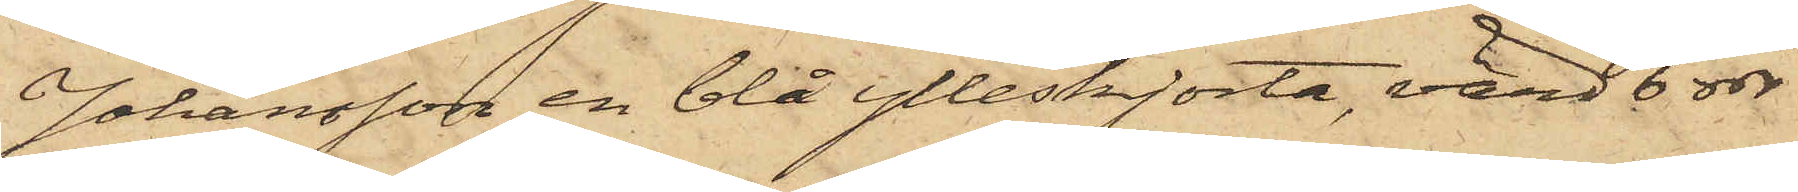Johansson en blå ylleskjorta, värd 6 rdr
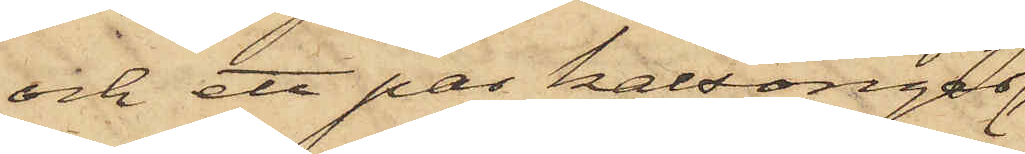och ett par kalsonger
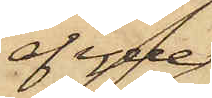af ylle,
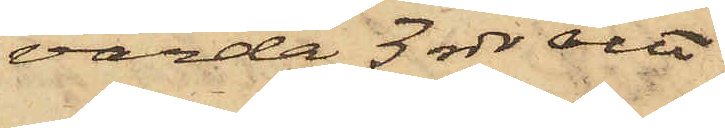värda 3 rdr allt
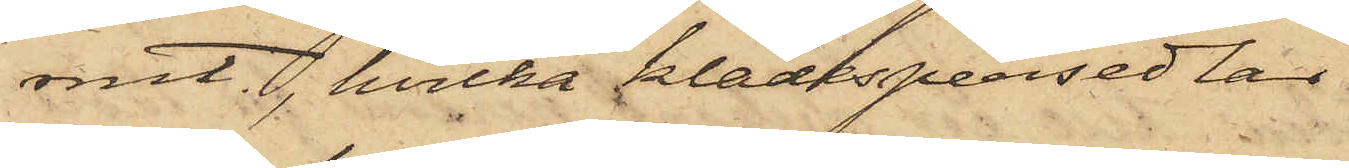rmt, hvilka klädespersedlar
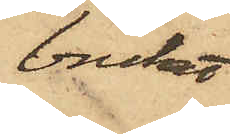brukat
